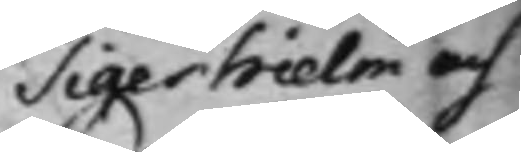Tigerhielm och
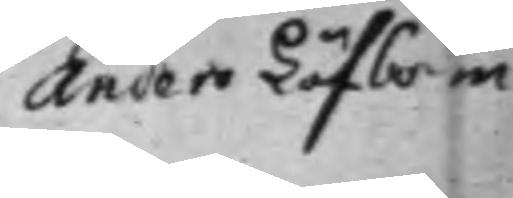Anders Löfbom
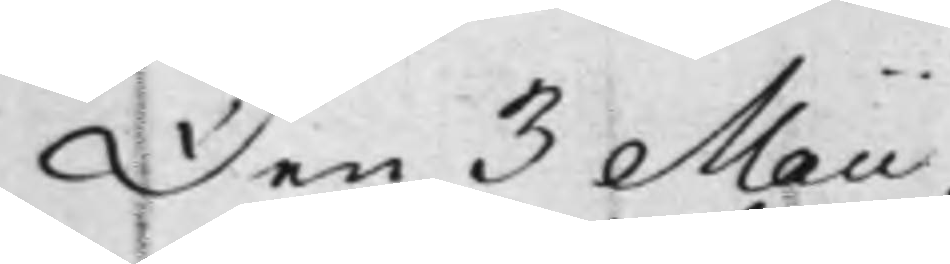Den 3 Maii
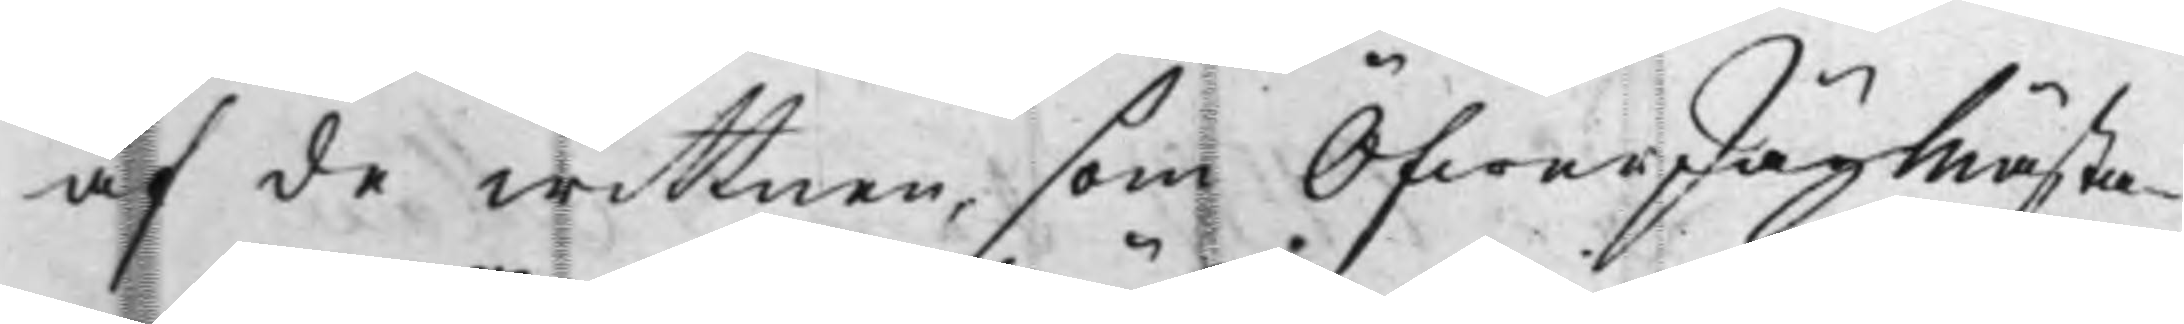af de wittnen, som ÖfwerJägmästa¬
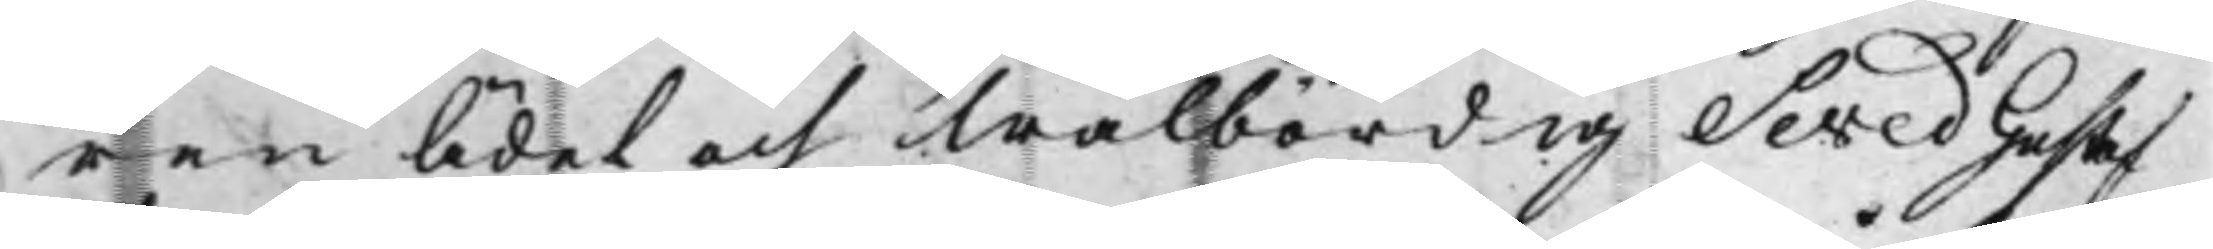ren Ädel och Wälbördig Seved Gustaf
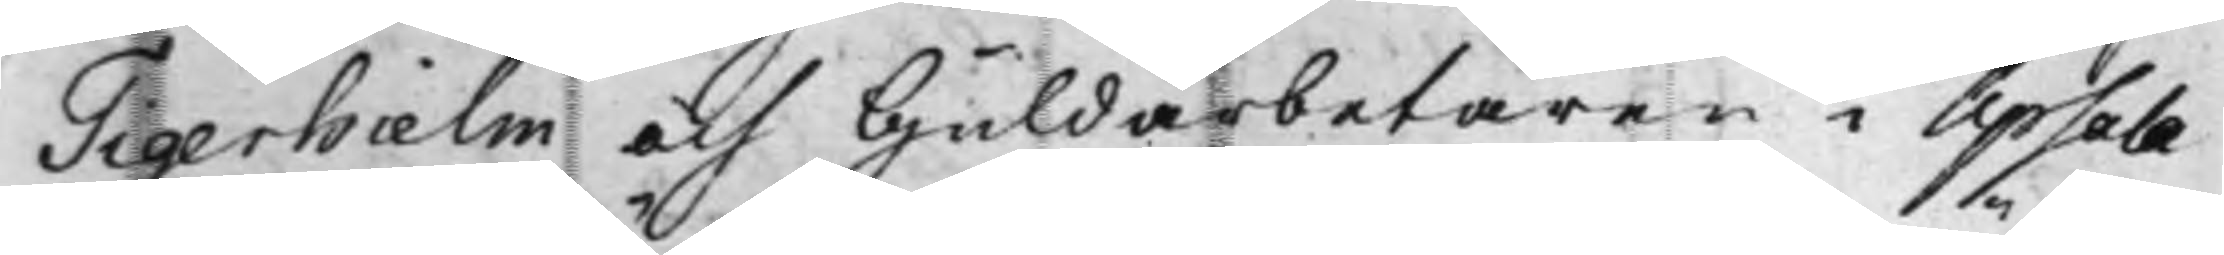Tigerhielm och Guldarbetaren i Upsala
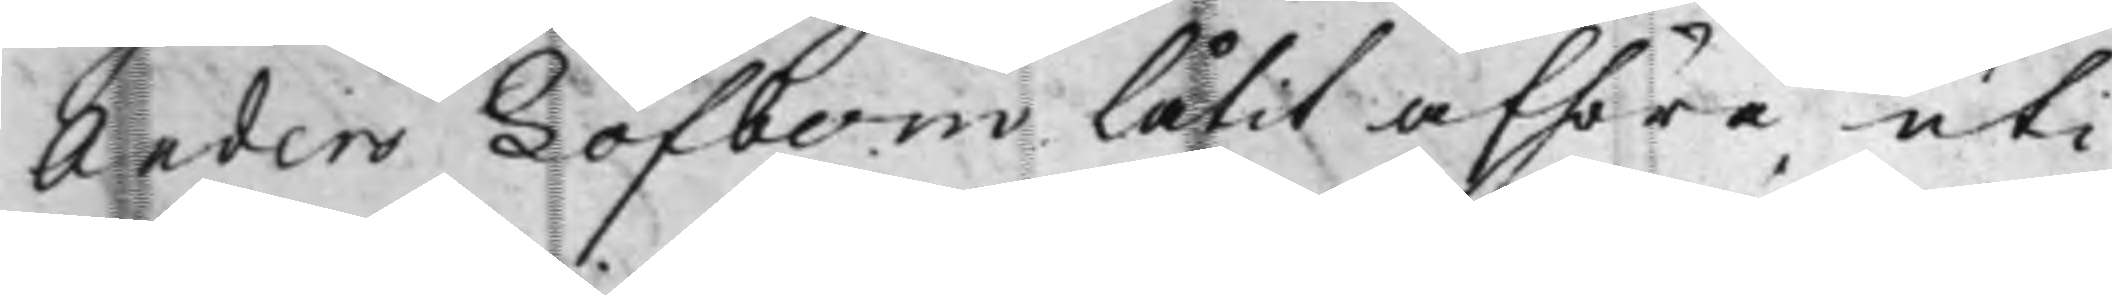Anders Löfbom låtit afhöra uti
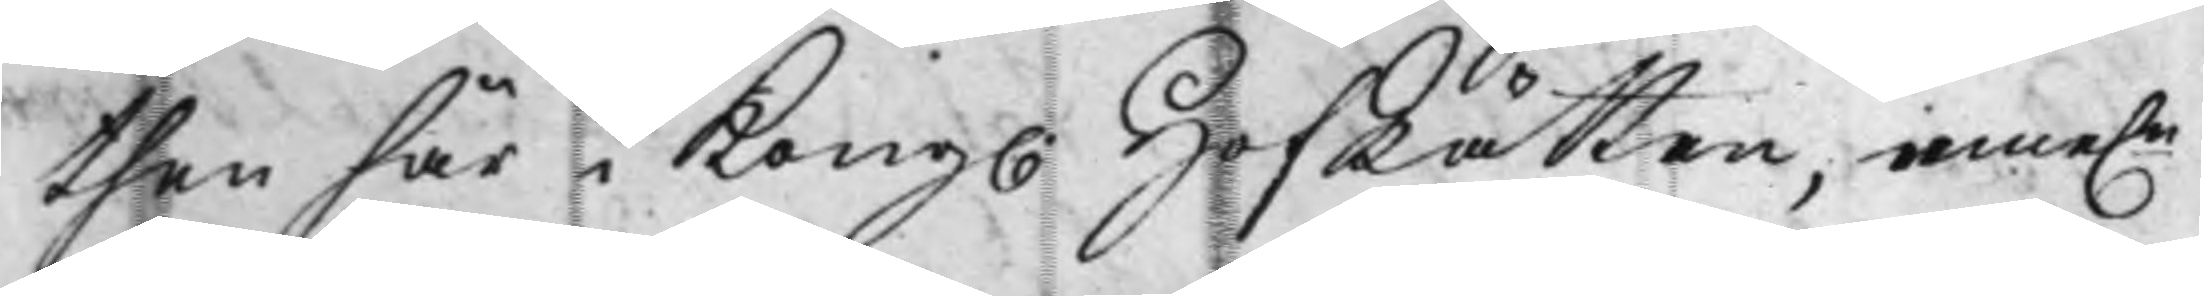then här i Kong. HofRätten, eme.n
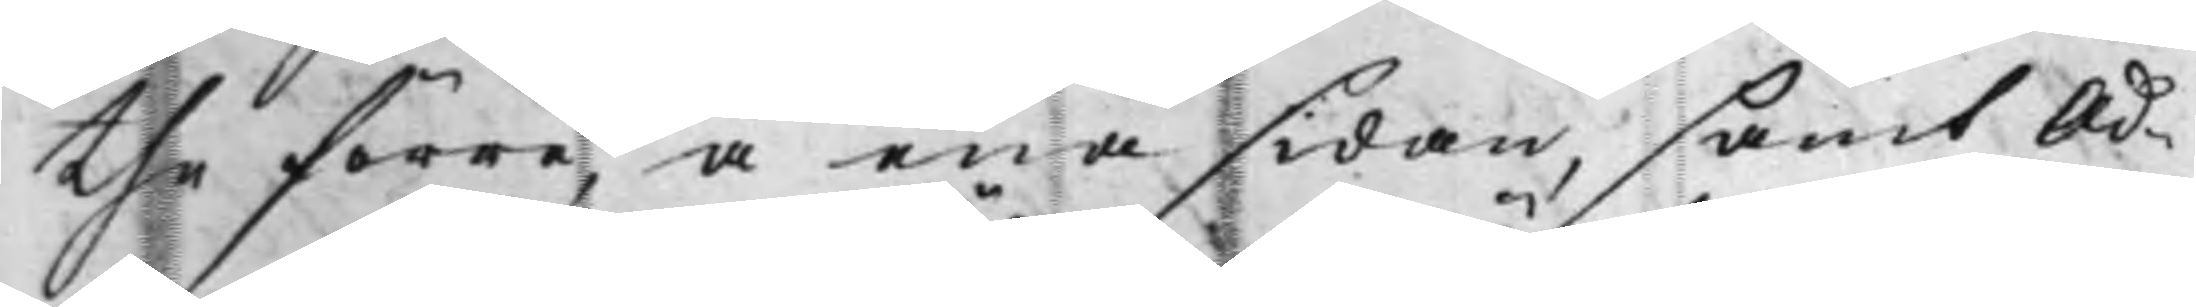the förre, å ena sidan, samt Ad¬
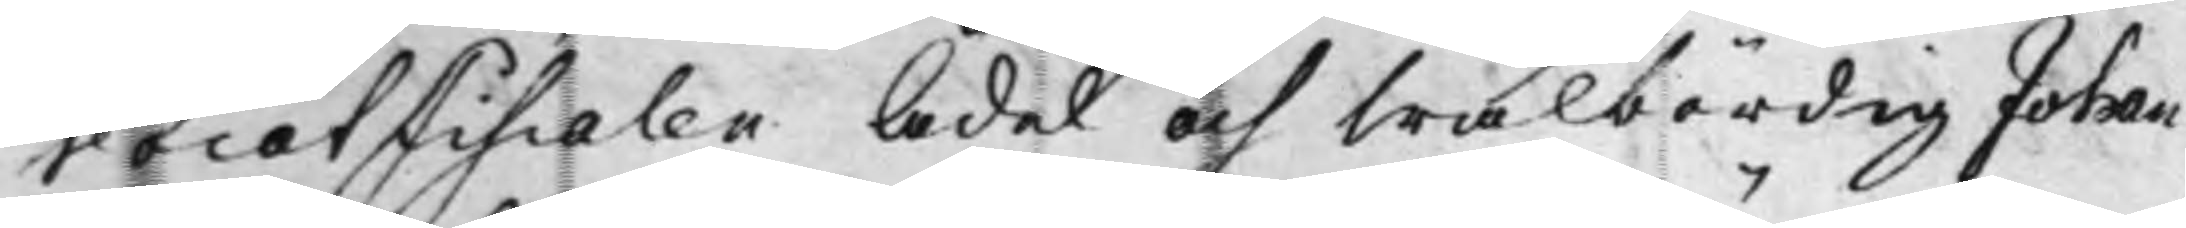vocatFiscalen Ädel och Wälbördig Johan
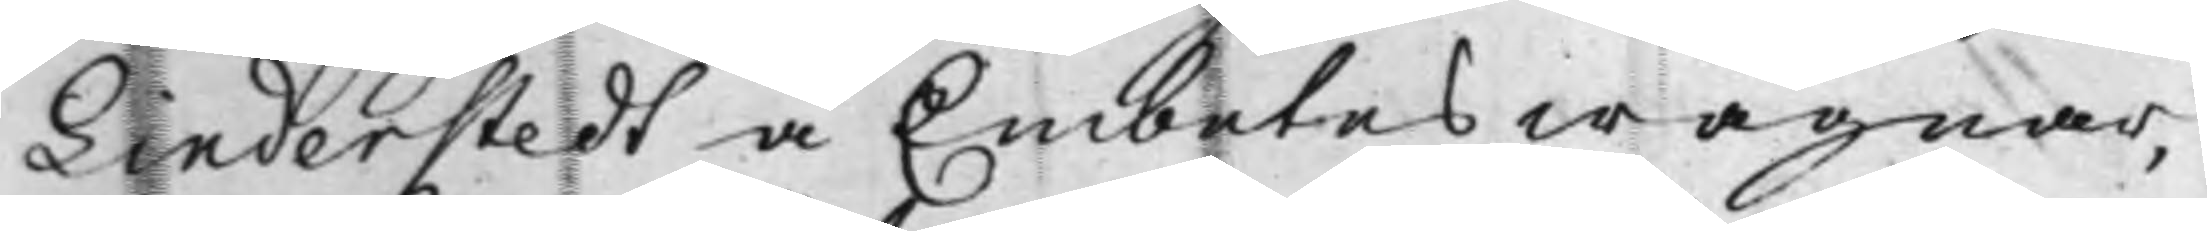Linderstedt å Embetes wägnar,
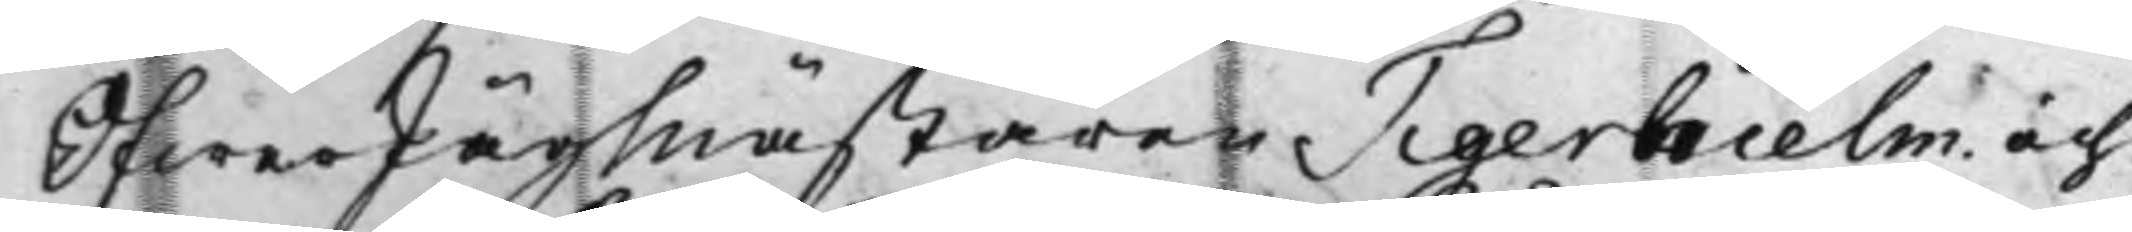ÖfwerJägmästaren Tigerhielm och
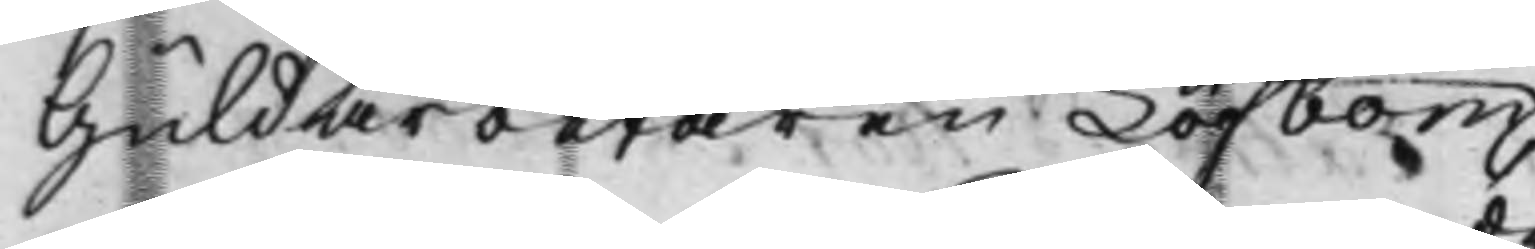Guldarbetaren Löfbom,
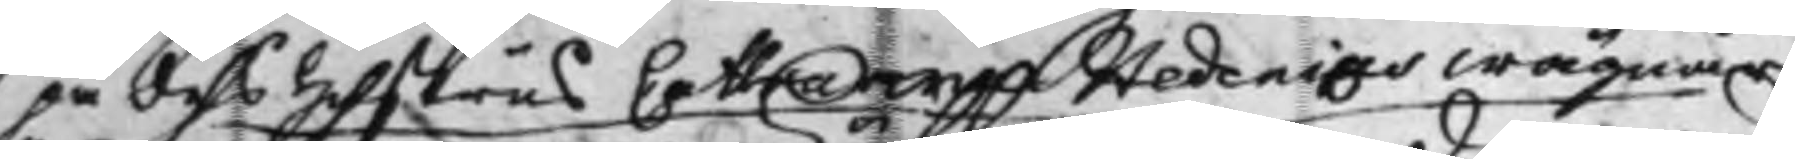på des Hustrus Catharina Hedenias wägnar
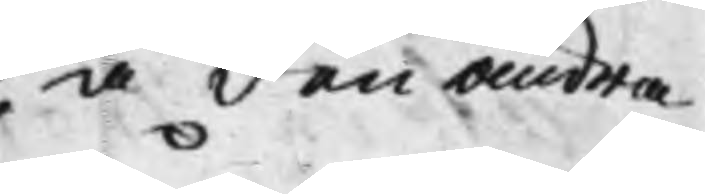å den andra
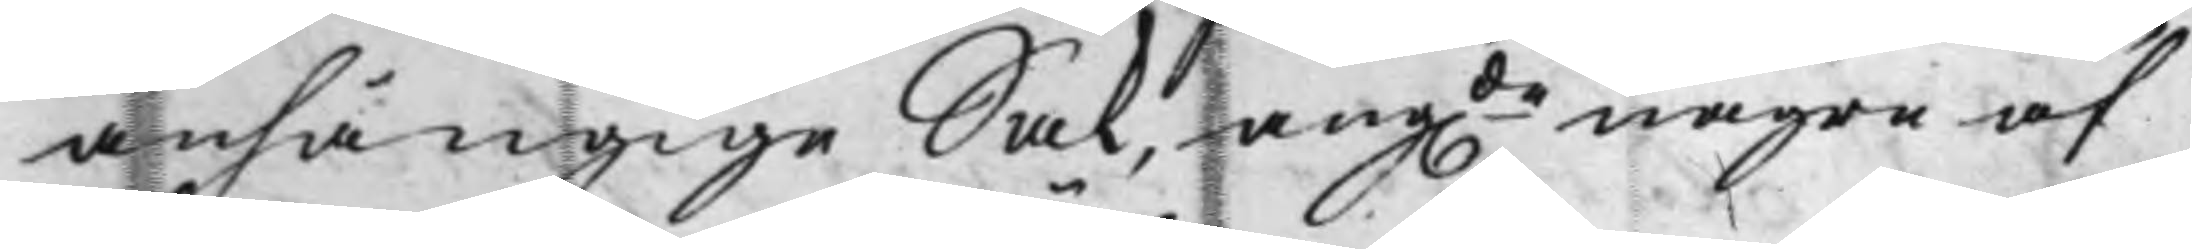anhängige Sak, angde några af
